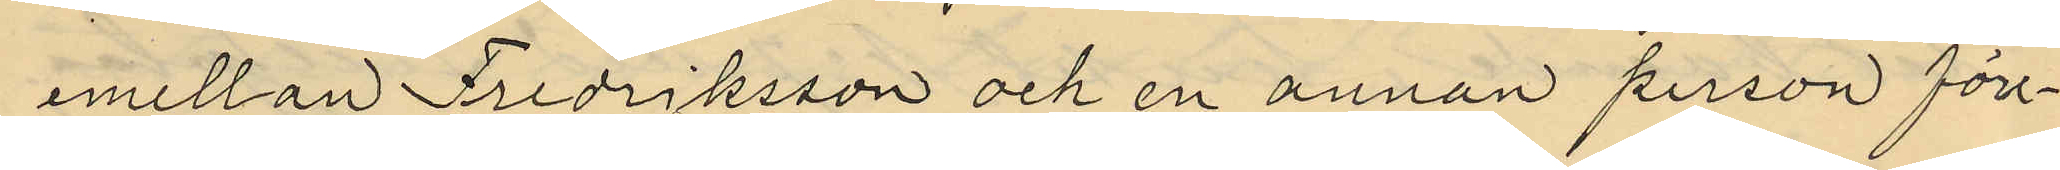emellan Fredriksson och en annan person före¬
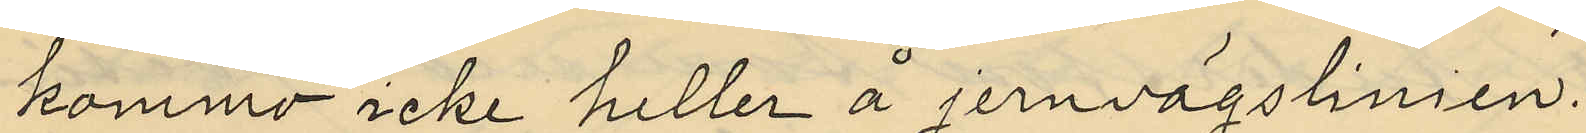kommo icke heller å jernvägslinien.
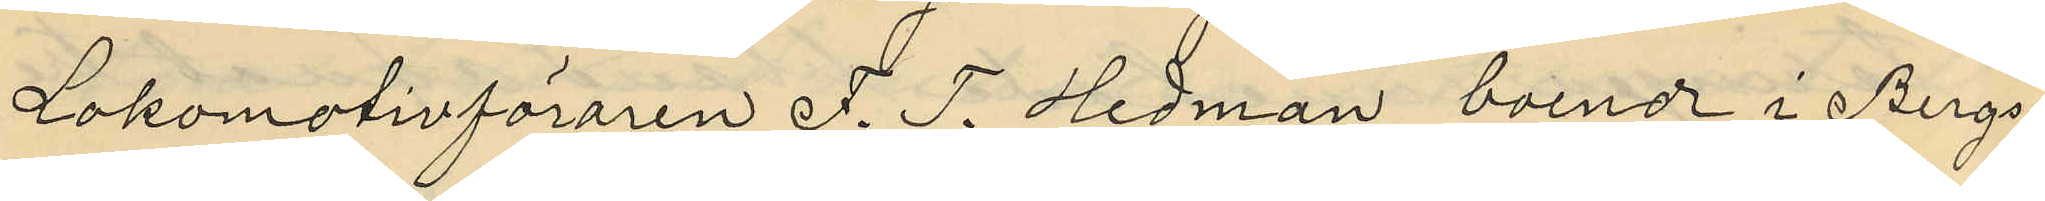Lokomotivföraren F. T. Hedman, boende i Bergs¬
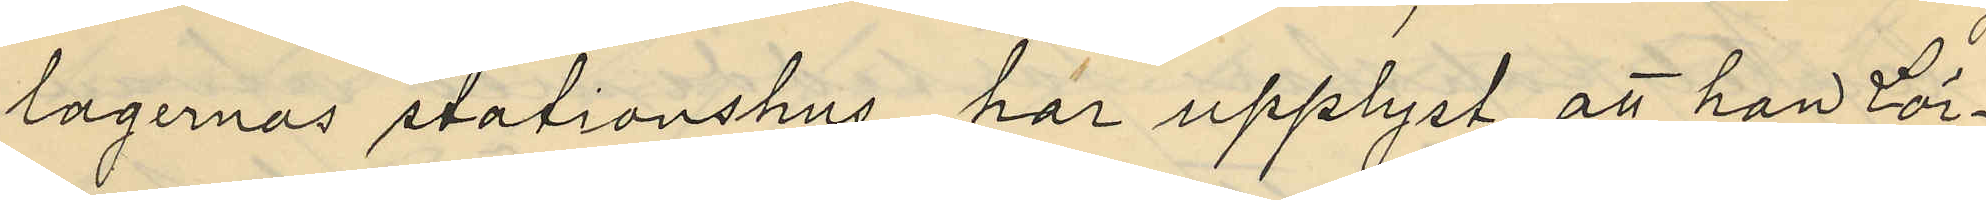lagernas stationshus, har upplyst att han Lör¬
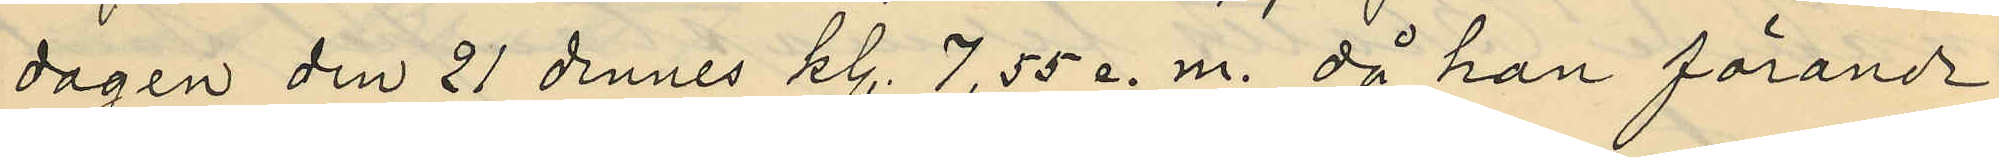dagen den 21 dennes kl. 7,55 e.m. då han förande
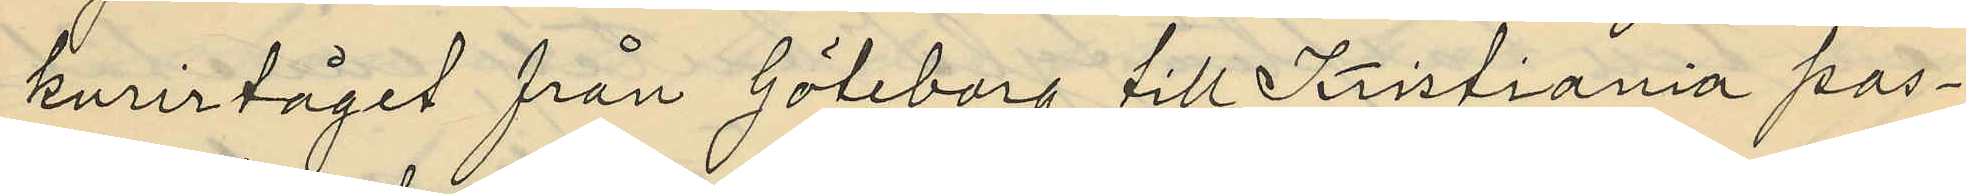kurirtåget från Göteborg till Kristiania pas¬
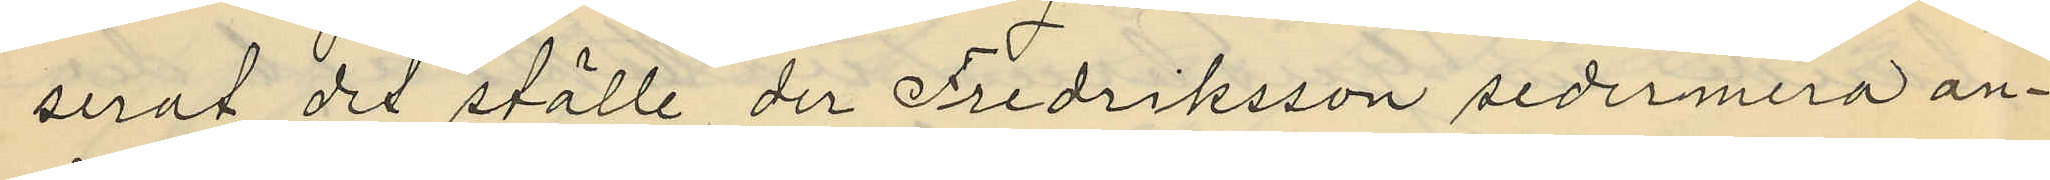serat det ställe, der Fredriksson sedermera an¬
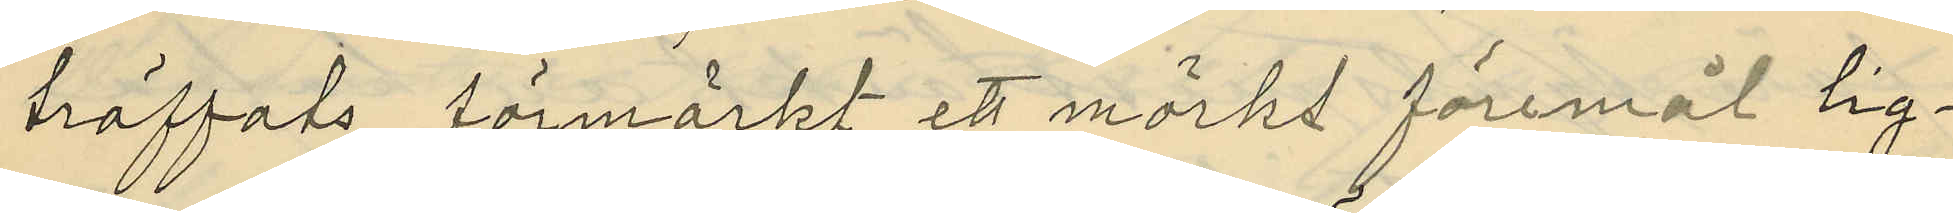träffats, förmärkt ett mörkt föremål lig¬
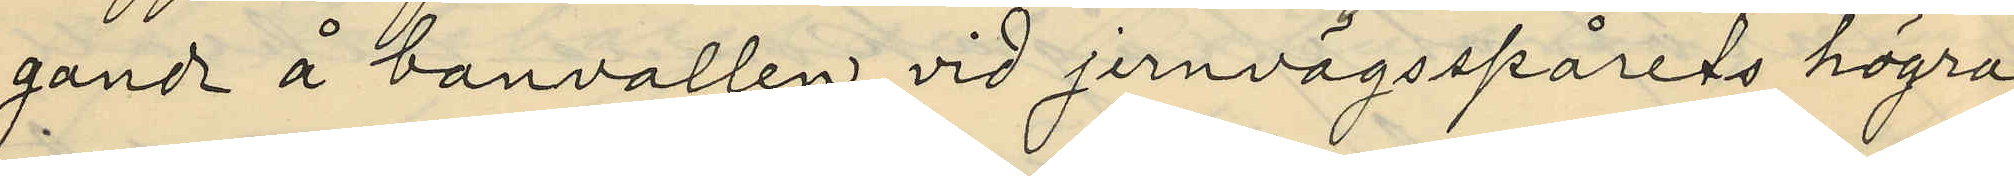gande å banvallen vid jernvägsspårets högra
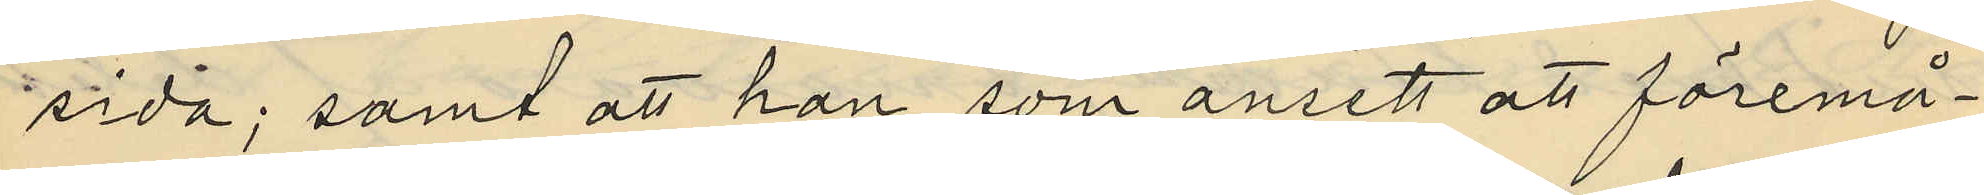sida; samt att han som ansett att föremå¬
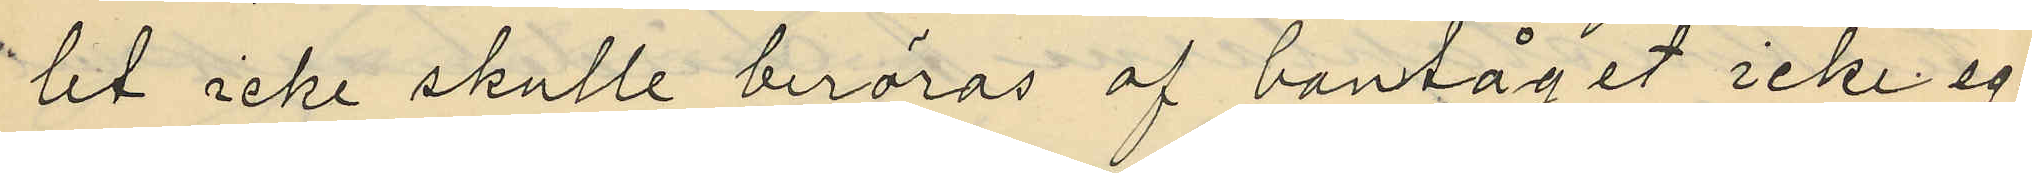let icke skulle beröras af bantåget icke eg¬
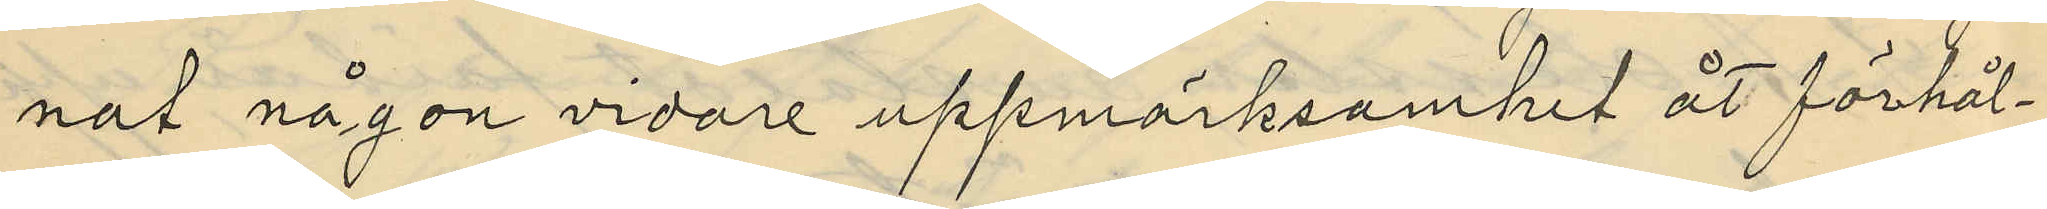nat någon vidare uppmärksamhet åt förhål¬
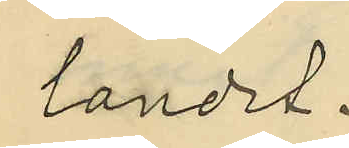landet.
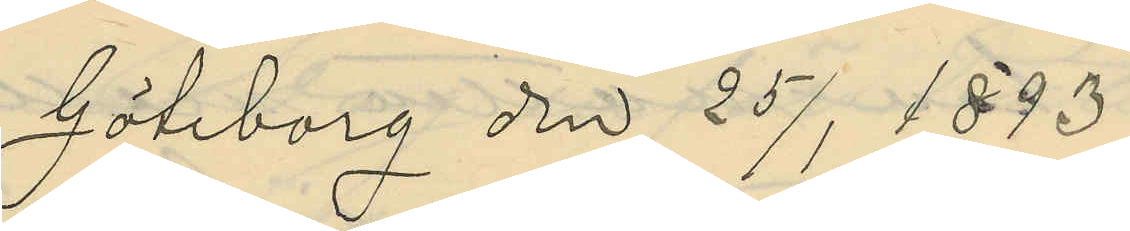Göteborg den 25/1 1893
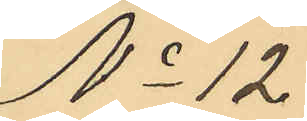No 12.
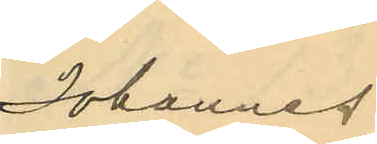Johannes
